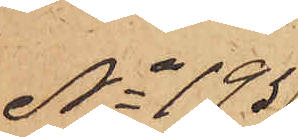No 195
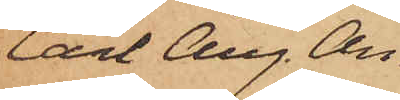Carl Aug. An¬
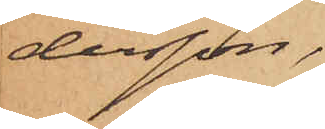dersson,
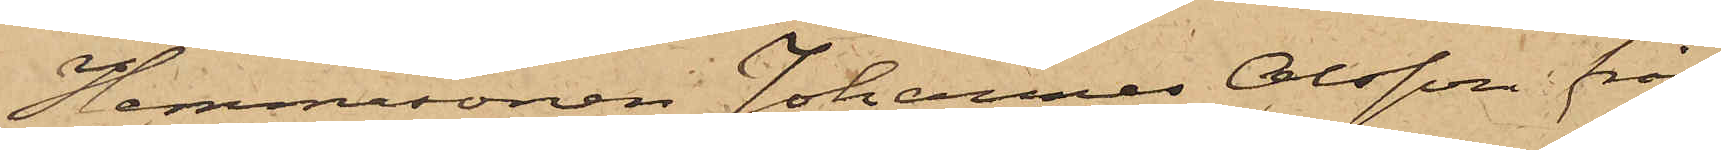Hemmasonen Johannes Olsson från
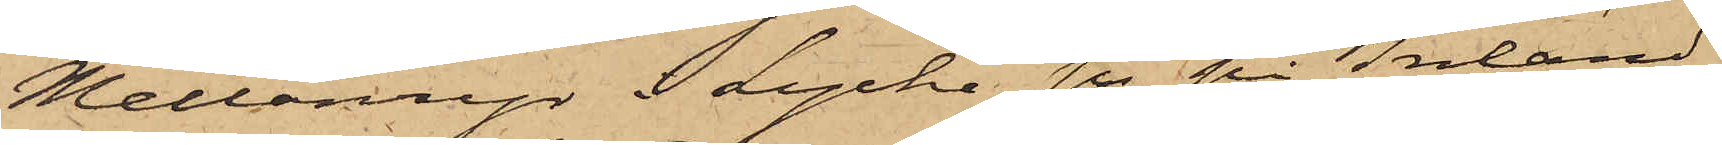Mellanryr i Lycke sn på Inland
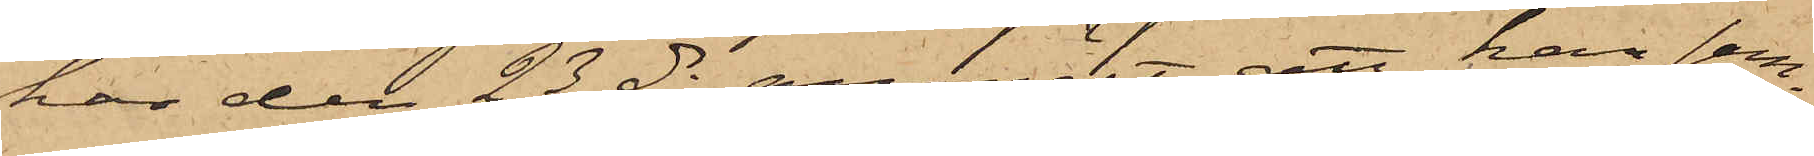har den 23 ds anmält, att han sam¬
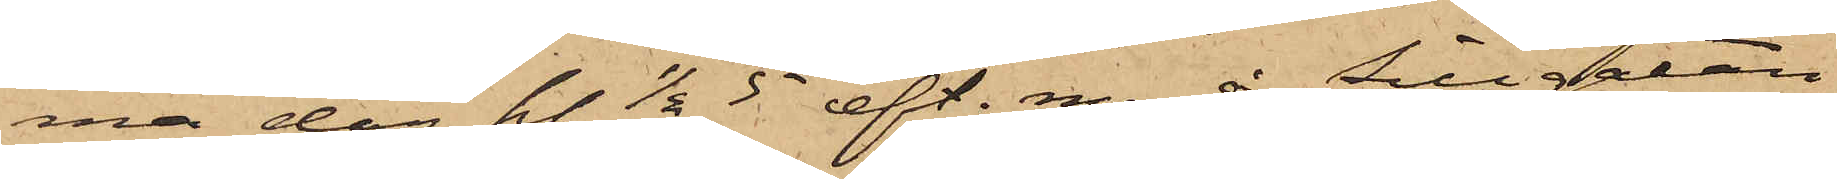ma dag kl. 1/2 5  eft. m. å Sillgatan
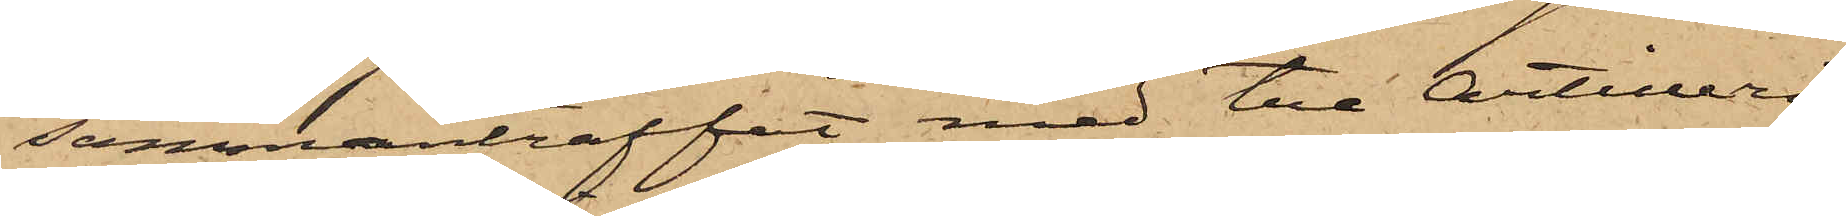sammanträffat med tre Artilleri¬
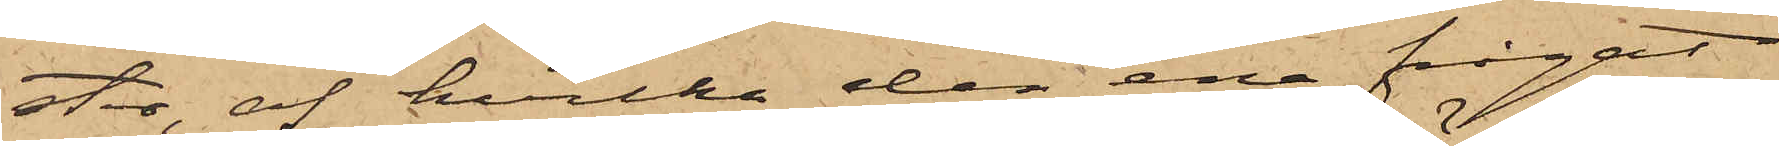ster, af hvilka den ena frågat
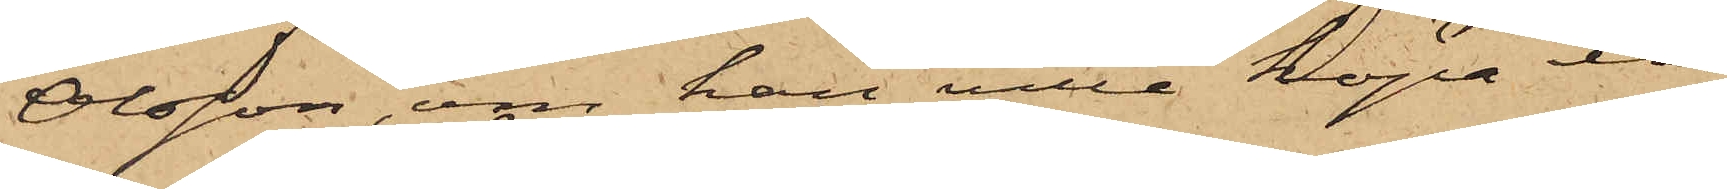Olsson, om han ville köpa ett
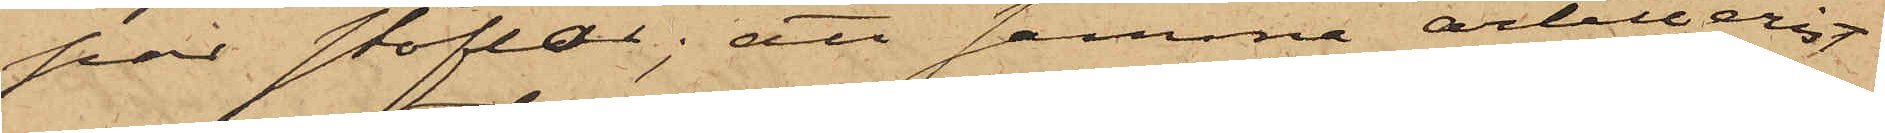par stöflar; att samma artillerist
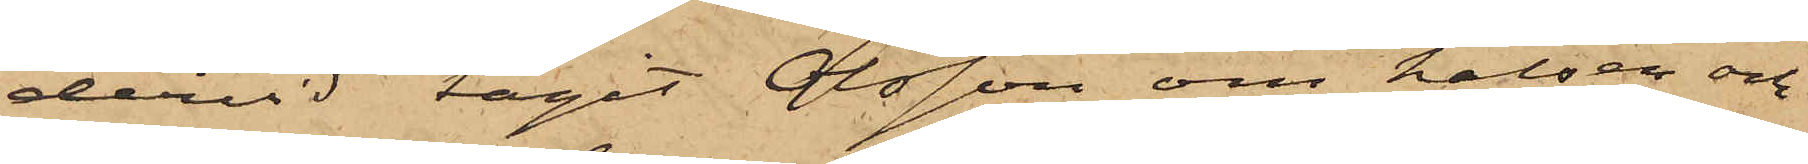dervid tagit Olsson om halsen och
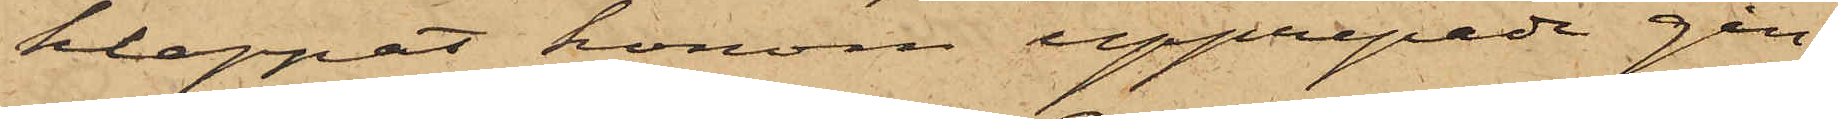klappat honom upprepade gån¬
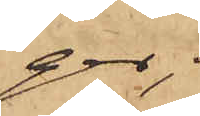ger;
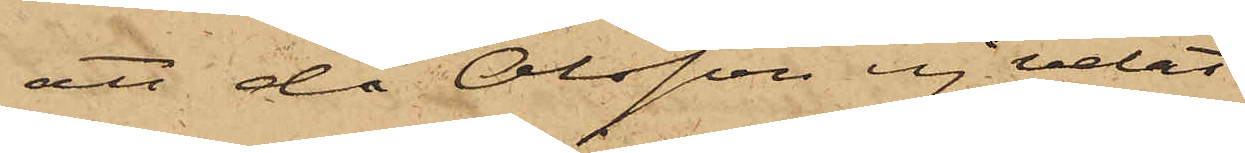att då Olsson ej velat
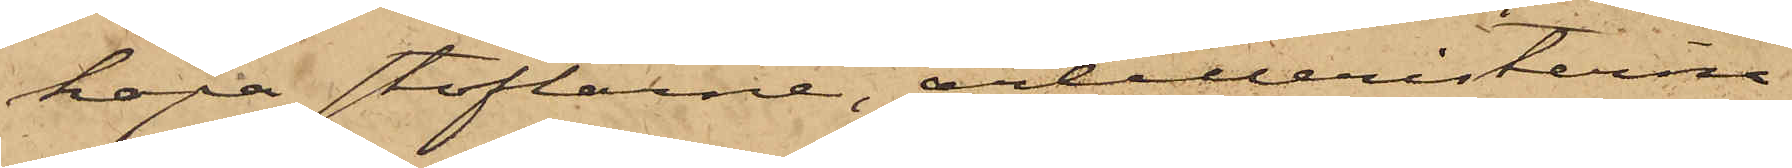köpa stöflarne, artilleristerna
